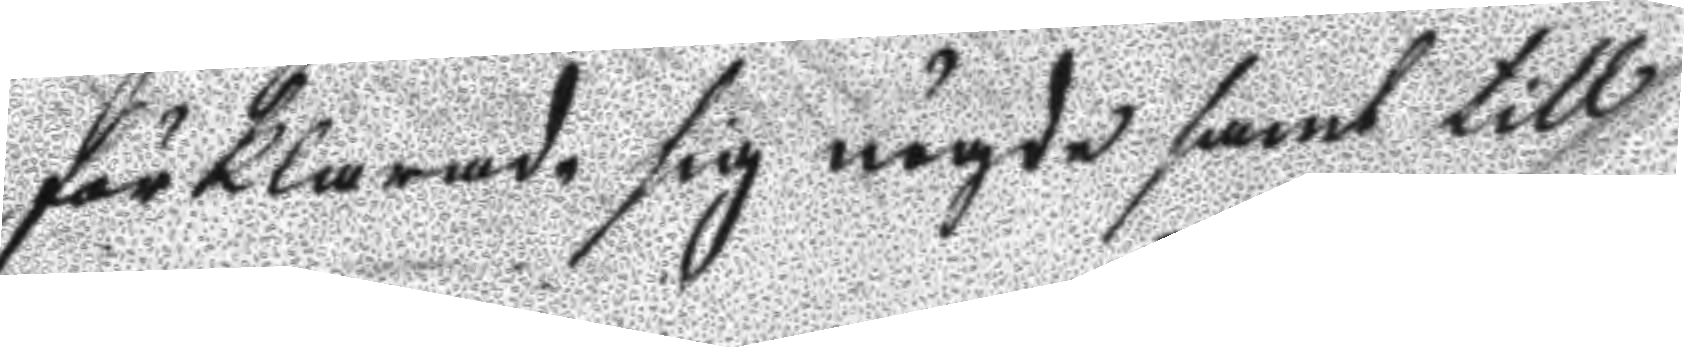förklarde sig nögde samt till
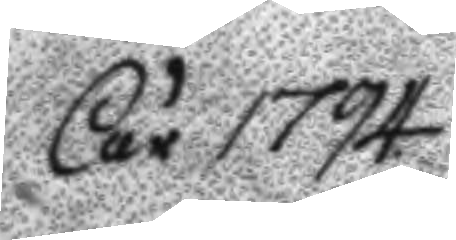År 1794
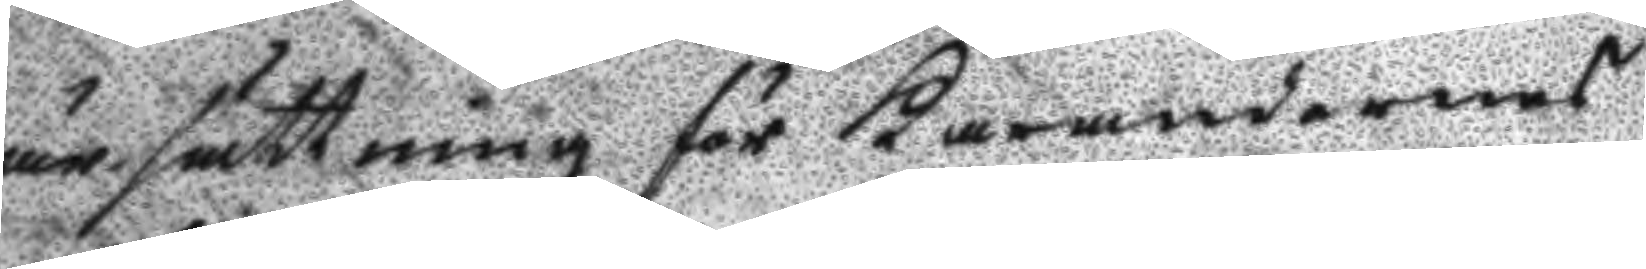ärsättning för Kärandernes
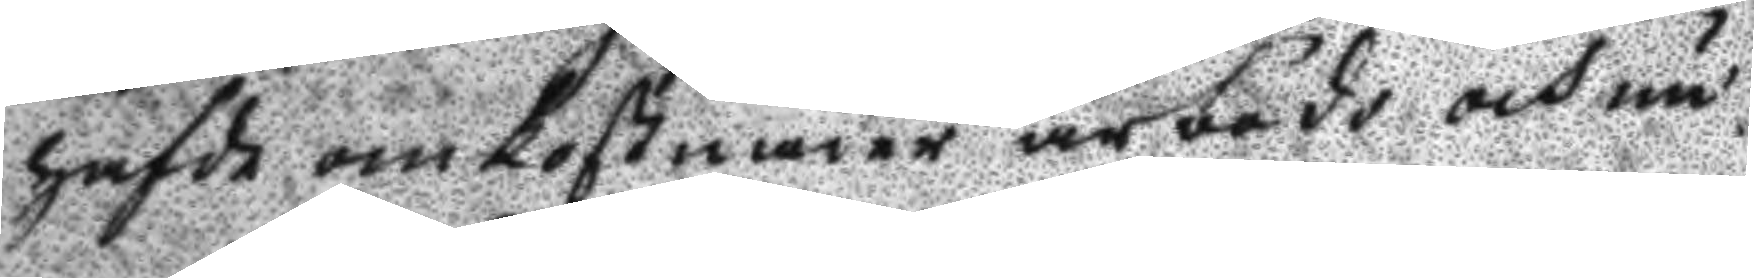hafda omkostnader ärbödo och nu
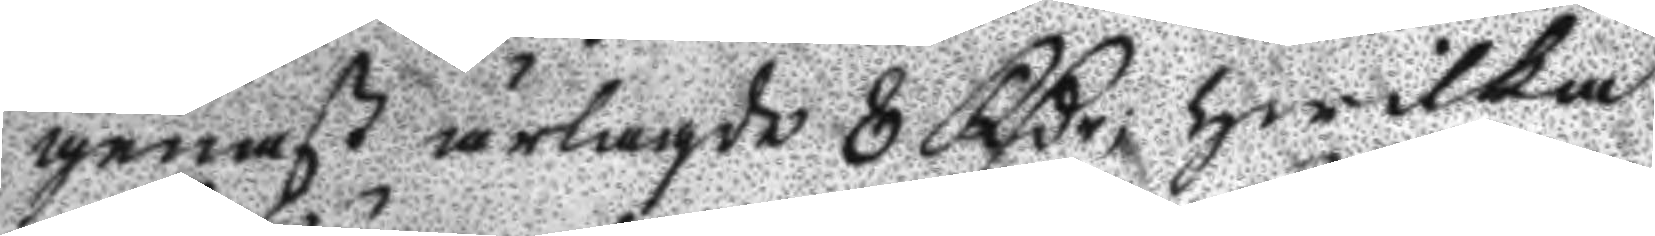genast ärlagde 8 Rßr; hwilka
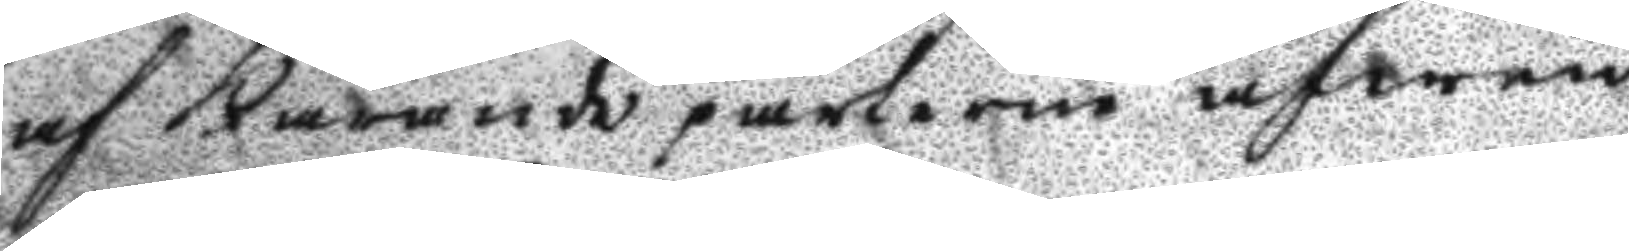af Kärande parterne äfwen 
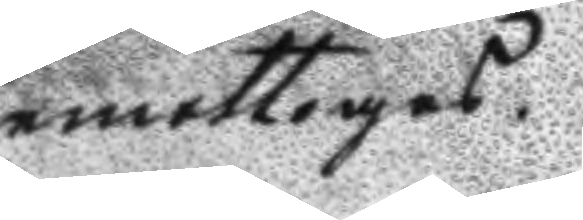emottoges.
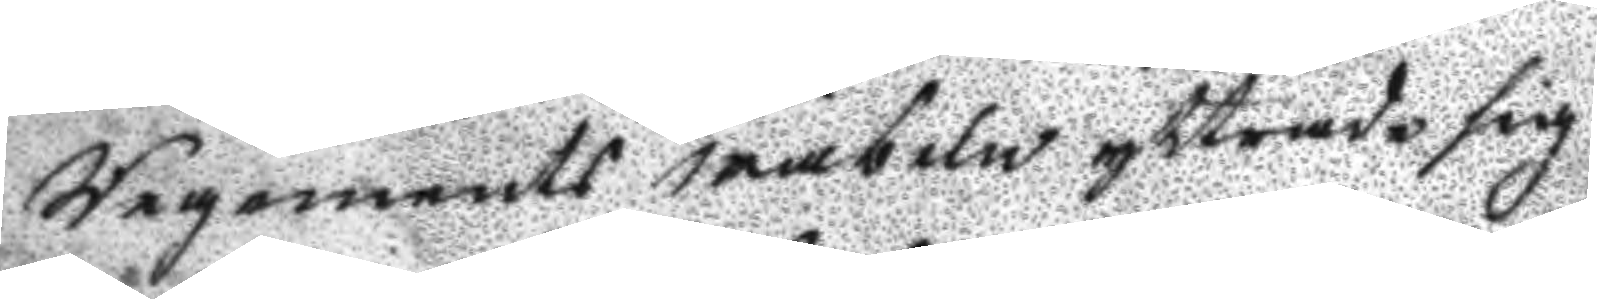Regements wäbeln yttrade sig
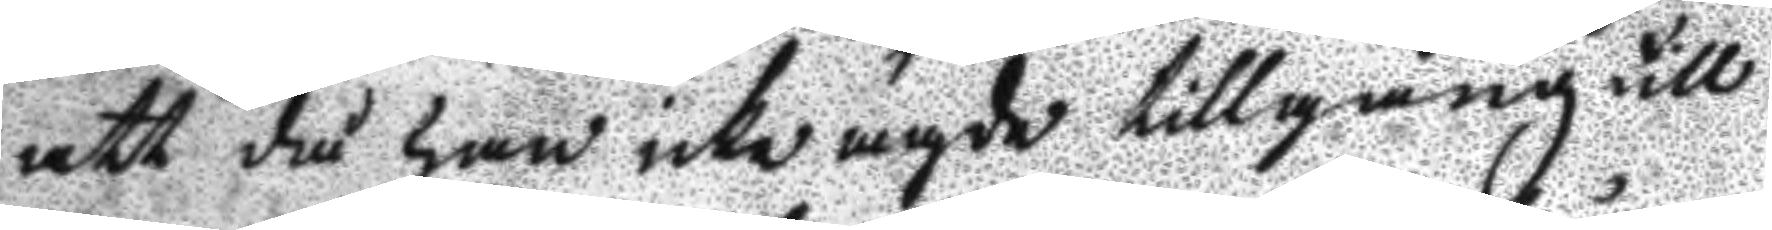att då han icke ägde tillgång till
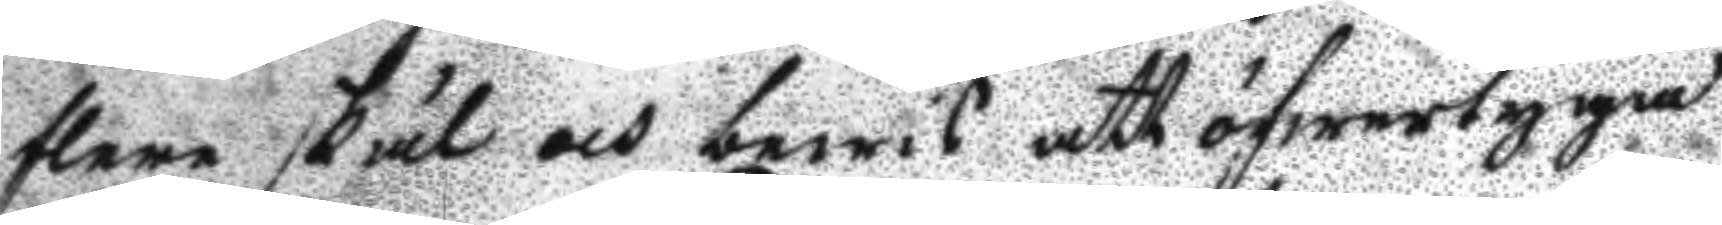flere skäl och bewis att öfwertyga
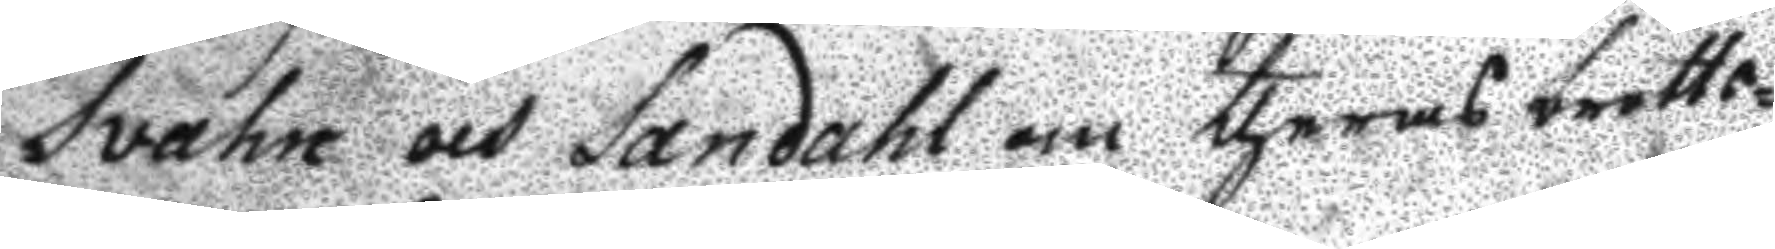Svahn och Sandahl om theras brotts¬
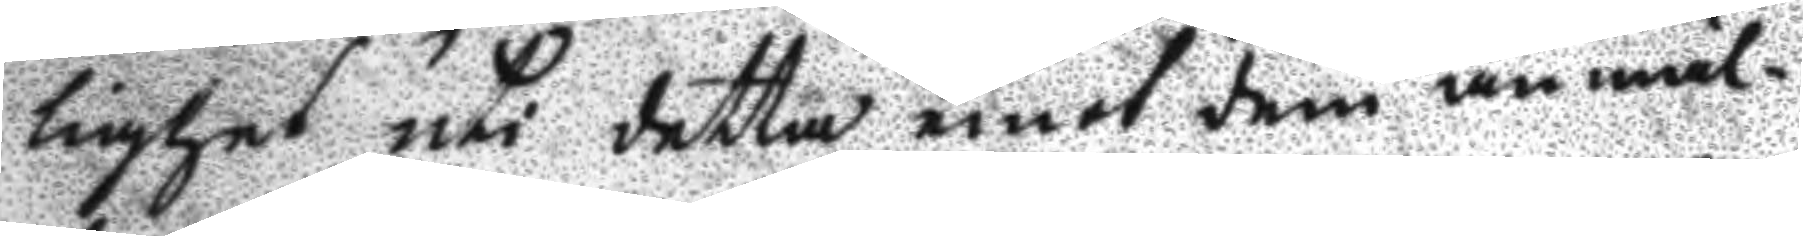lighet uti detta emot dem anmäl¬
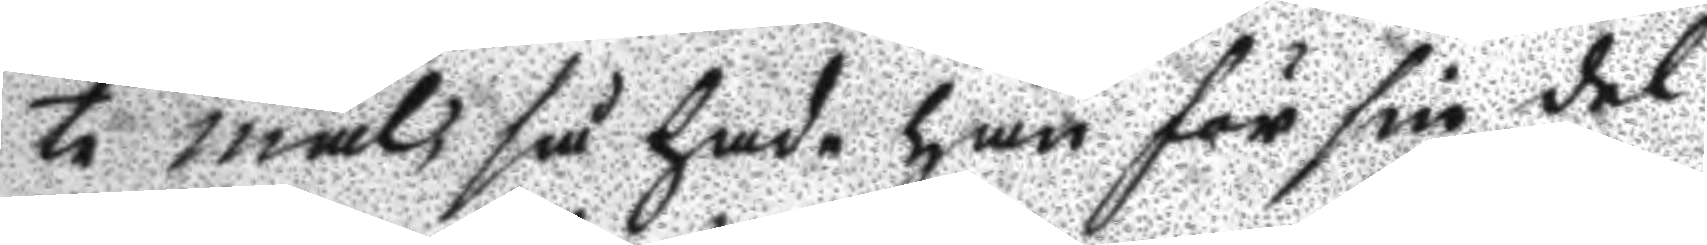te mål, så hade han för sin del
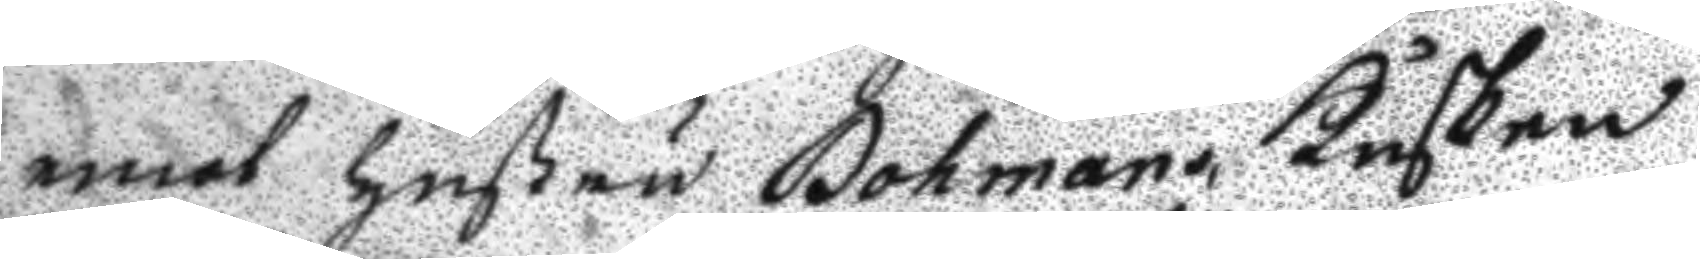emot hustru Bohman, Kusken
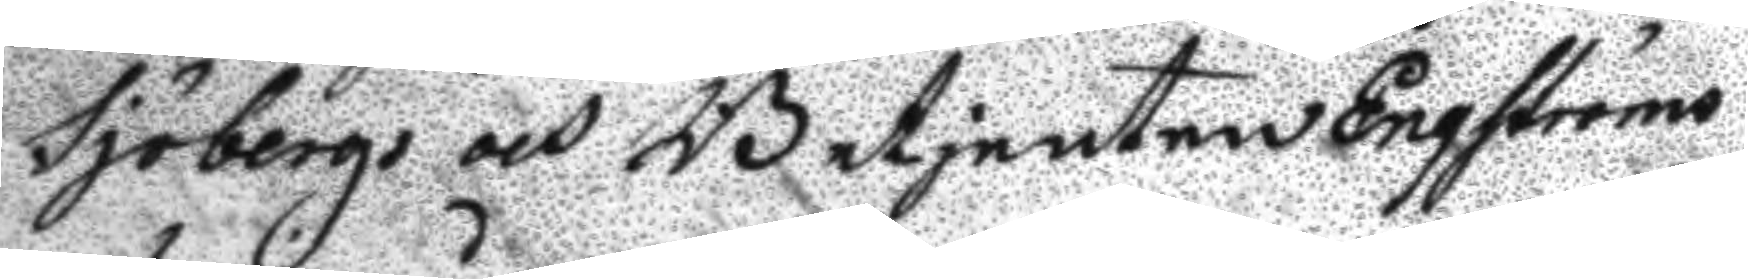Sjöbergs och Betjenten Engströms
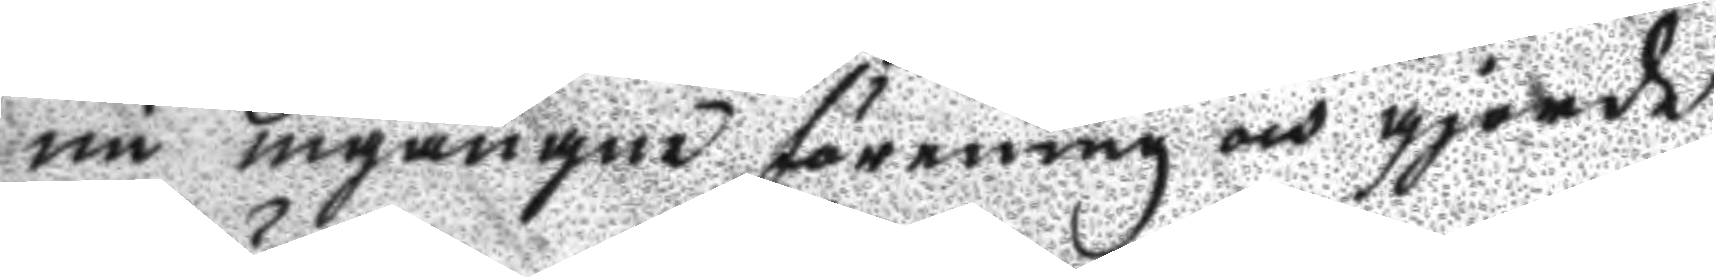nu ingångne förening och gjorde
